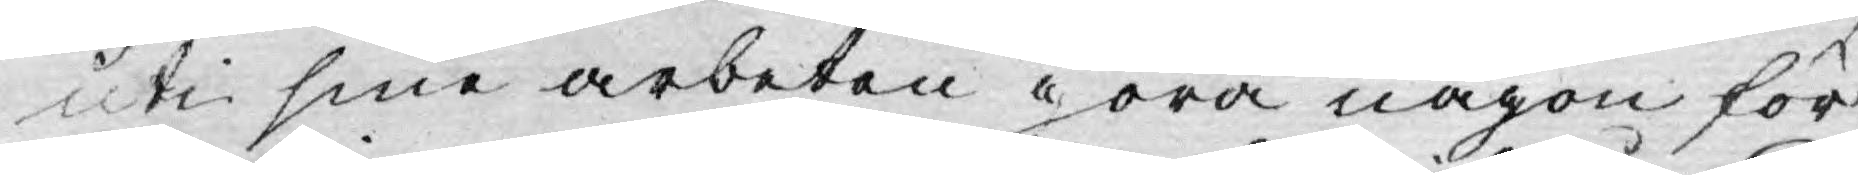uti sine arbeten göra någon för¬
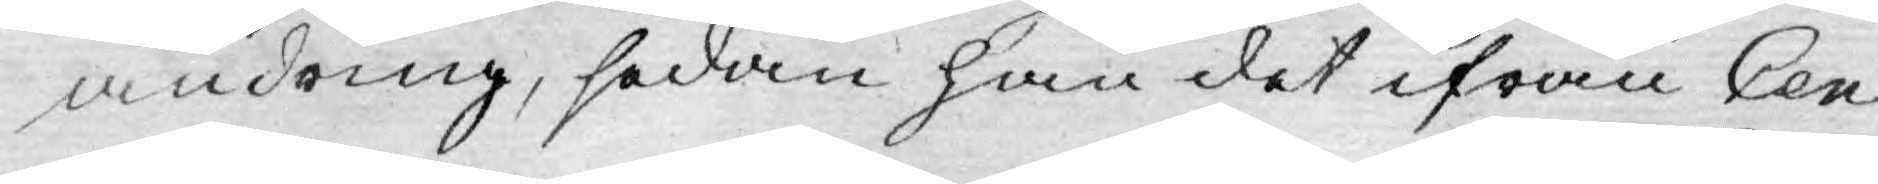ändring, sedan han det ifrån Cen¬
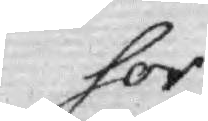sor
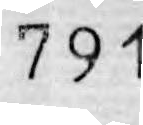791
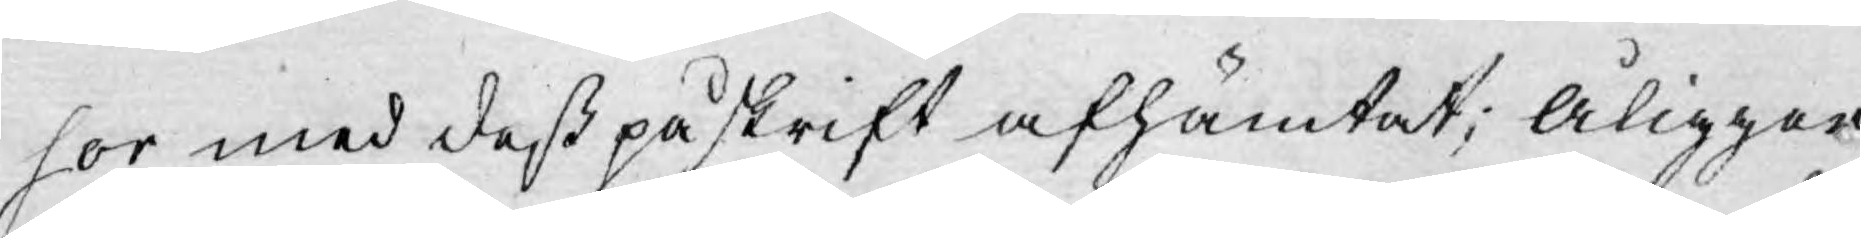sor med deß påskrift afhämtat; åligger
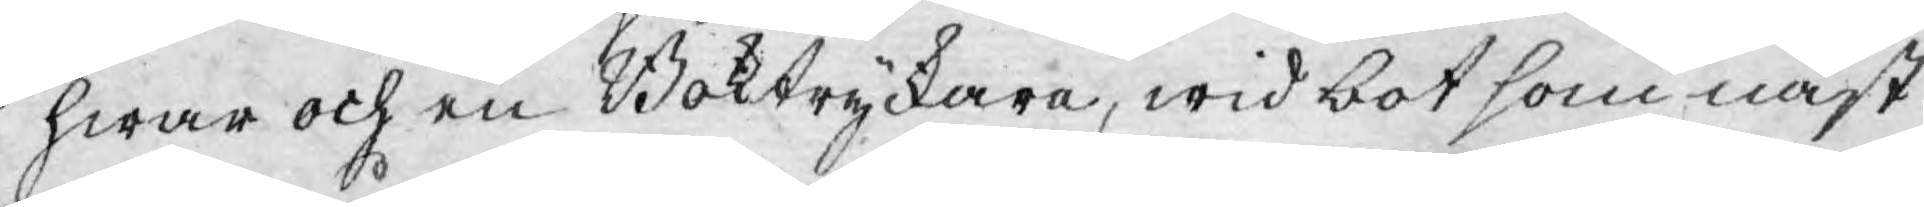hwar och en Boktryckare, wid bot som näst
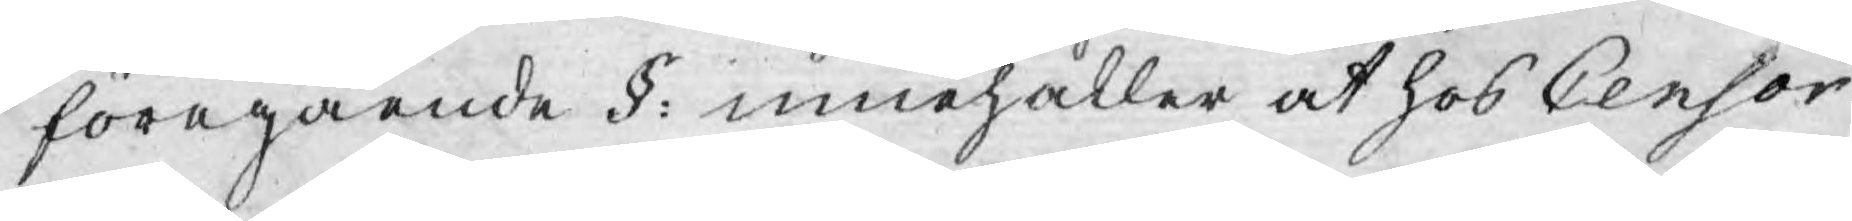föregående §: innehåller at hos Censor
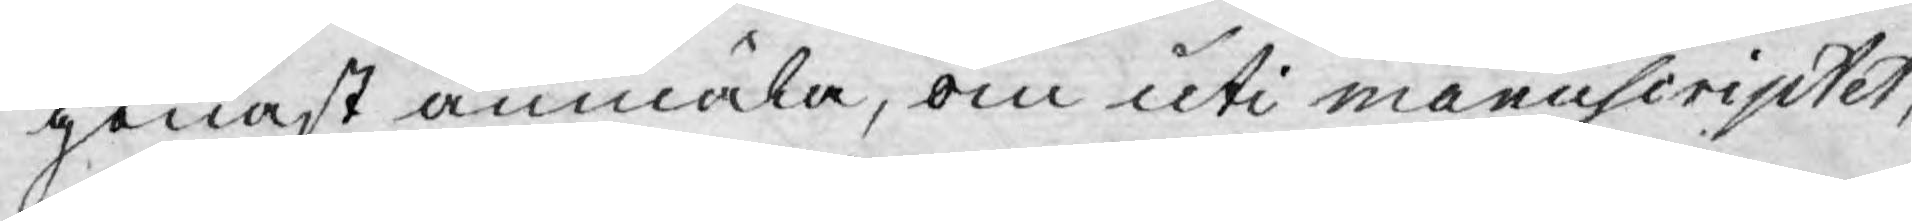genast anmäla, om uti manuscriptet,
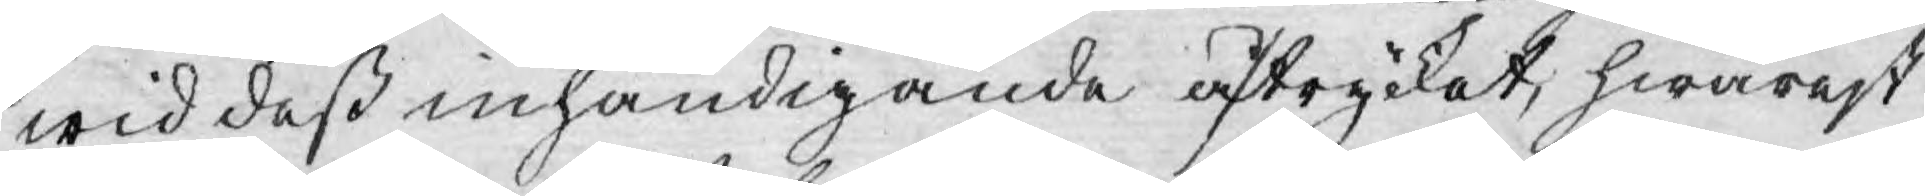wid deß inhändigande aftrycket, hwarest
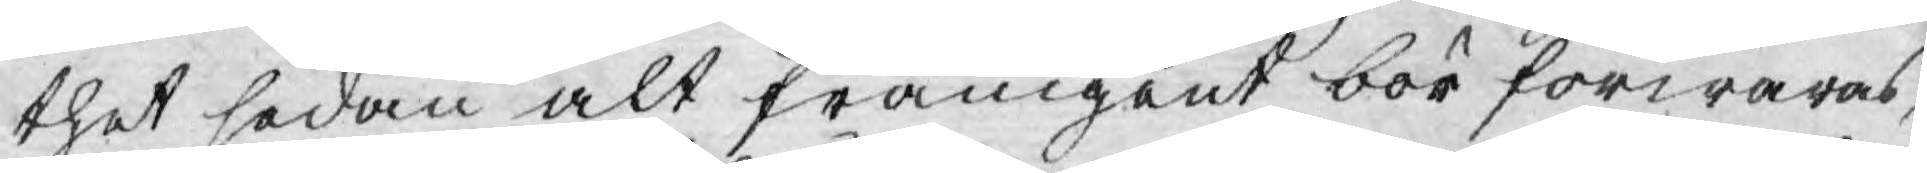thet sedan alt framgent bör förwaras,
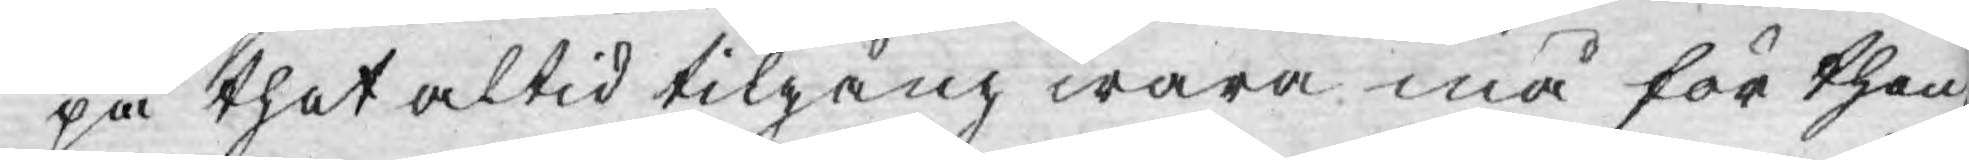på thet altid tilgång wara må för then
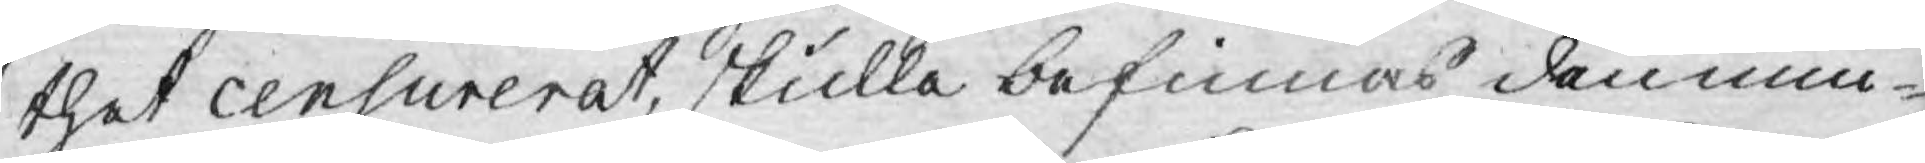thet censurerat, skulle befinnas den min¬
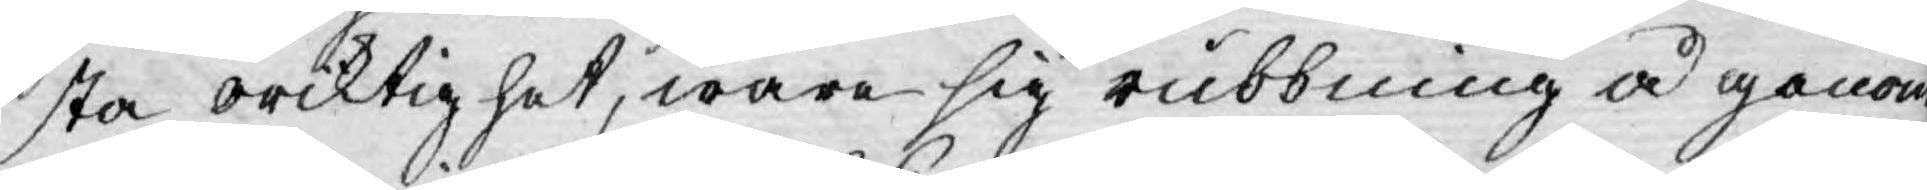sta oriktighet, wara sig rubbning å genom
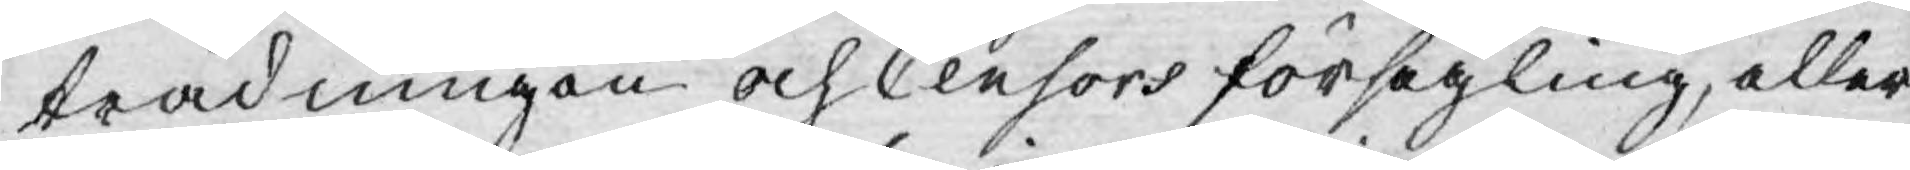trädningen och Censors försegling, eller
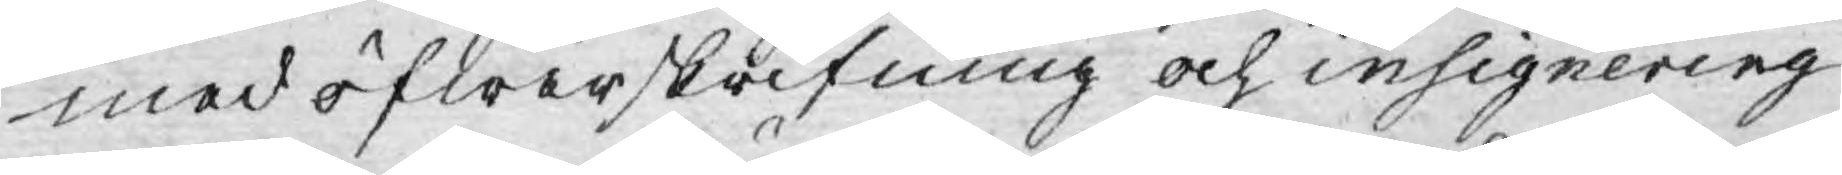med öfwerskrifning och insignering
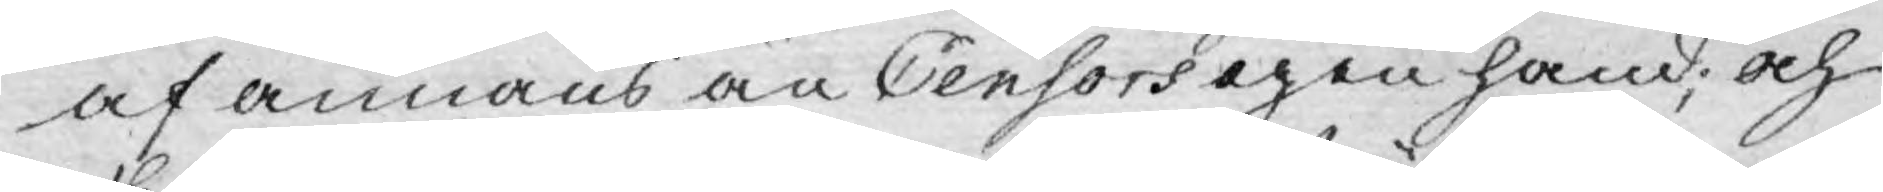af annans än Censors igen hand; och
